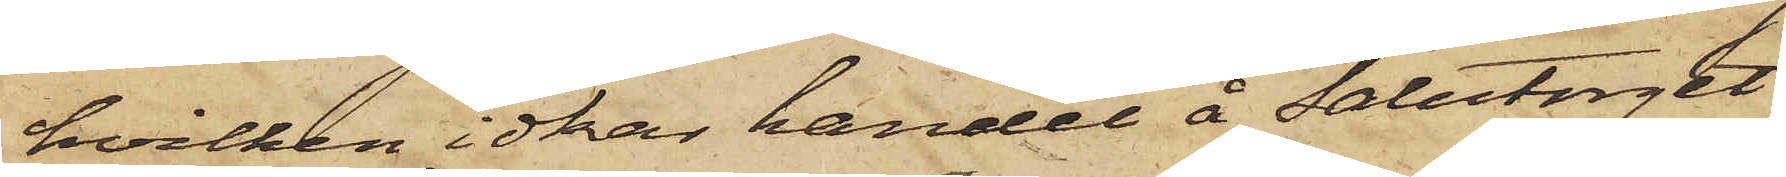hvilken idkar handel å Salutorget
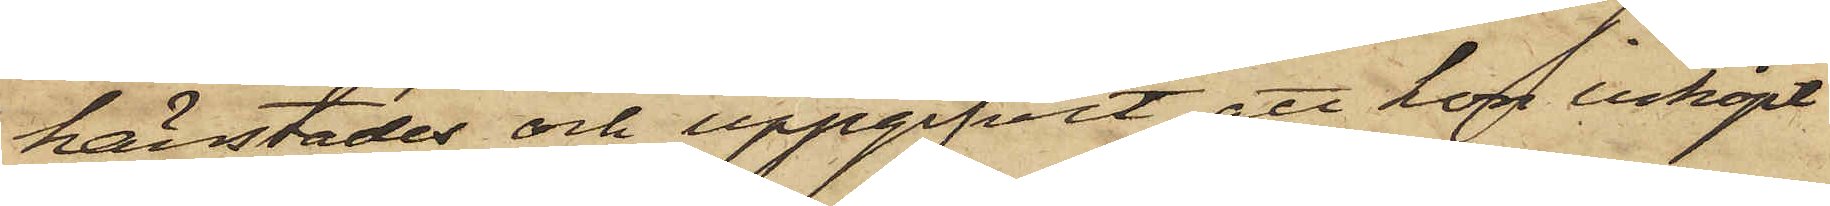härstädes och uppgifvit, att hon inköpt
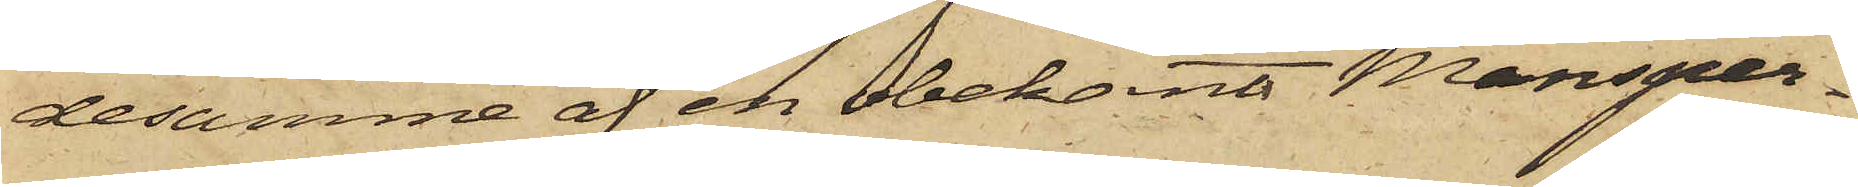desamme af en obekant Mansper¬
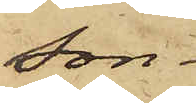son.
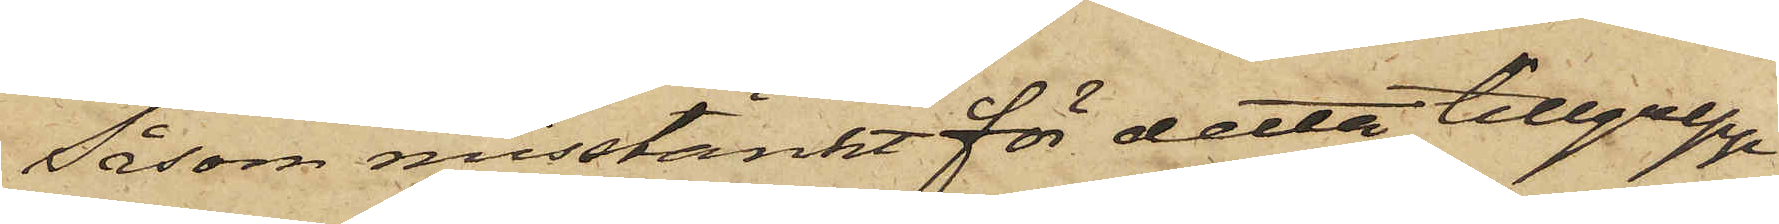Såsom misstänkt för detta tillgrepp
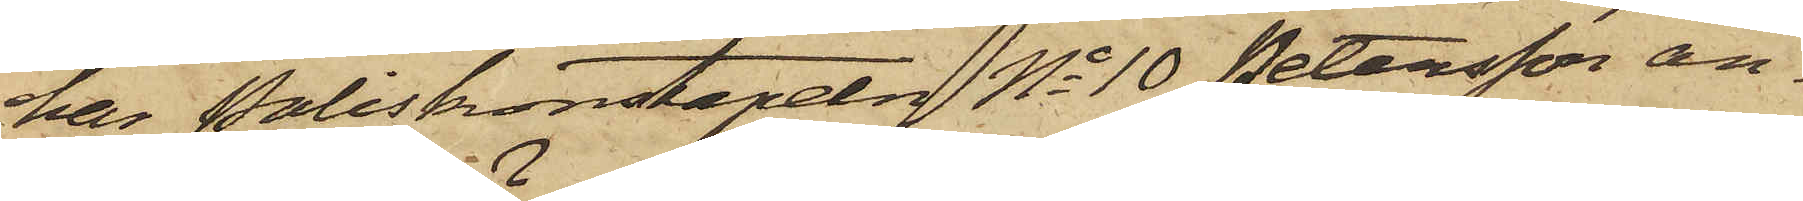har Poliskonstapeln No 10 Petersson an¬
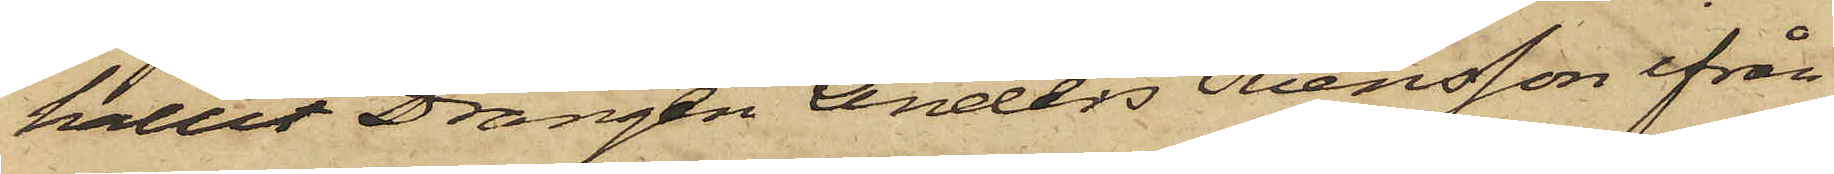hållit Drängen Anders Svensson ifrån
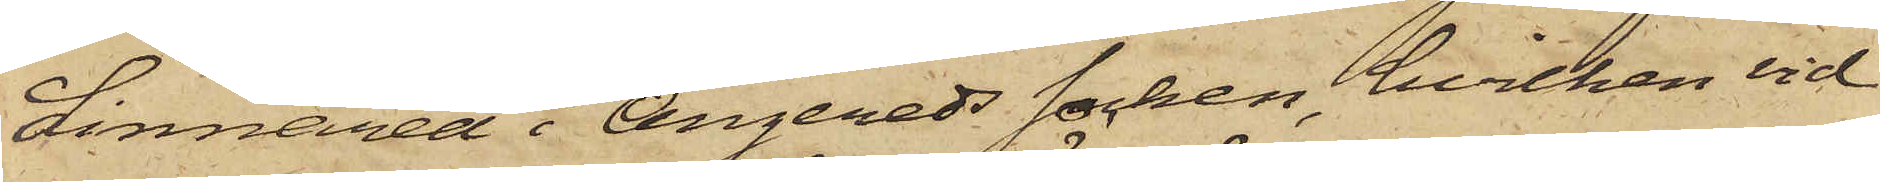Linnared i Angereds Socken, hvilken vid
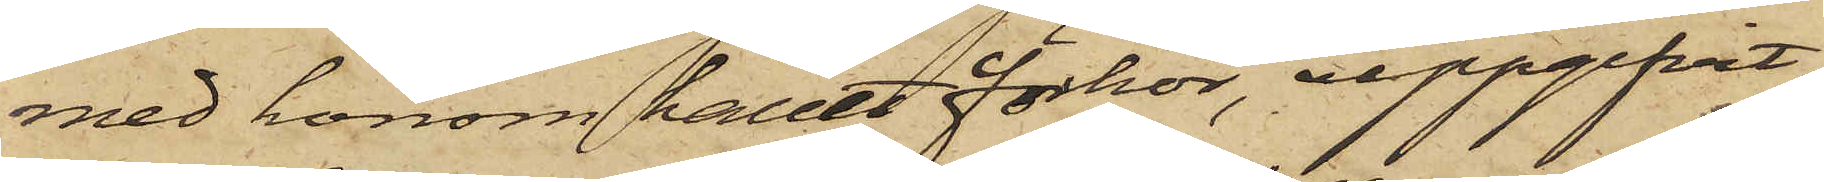med honom hållet förhör, uppgifvit,
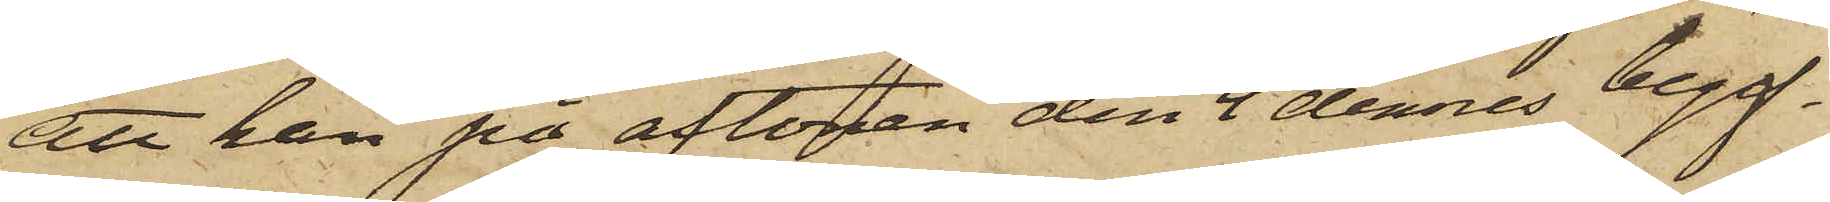att han på aftonen den 4 dennes begif¬
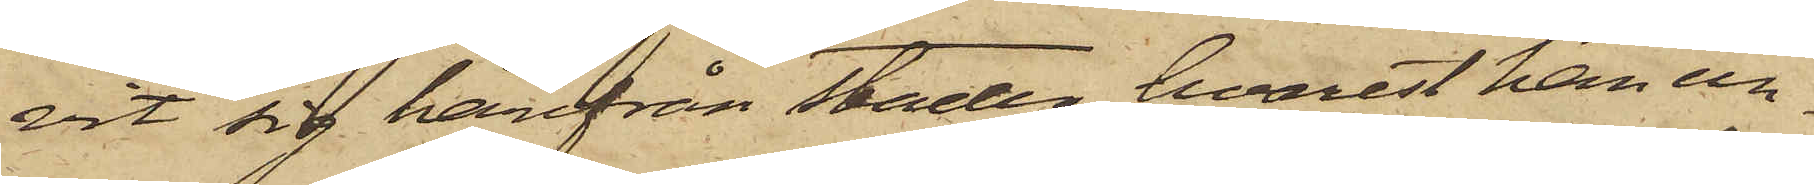vit sig härifrån staden, hvarest han un¬
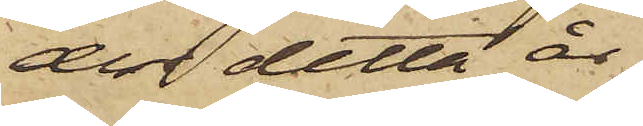der detta år
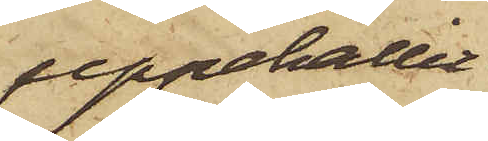uppehållit
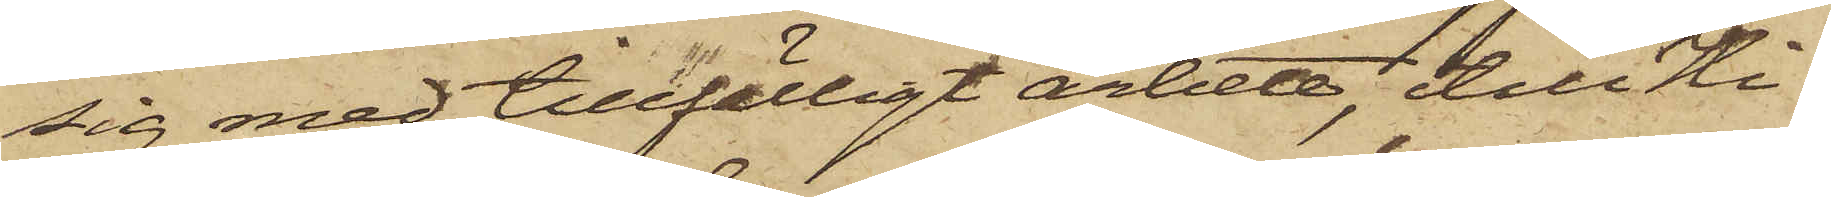sig med tillfälligt arbete, till Hi¬
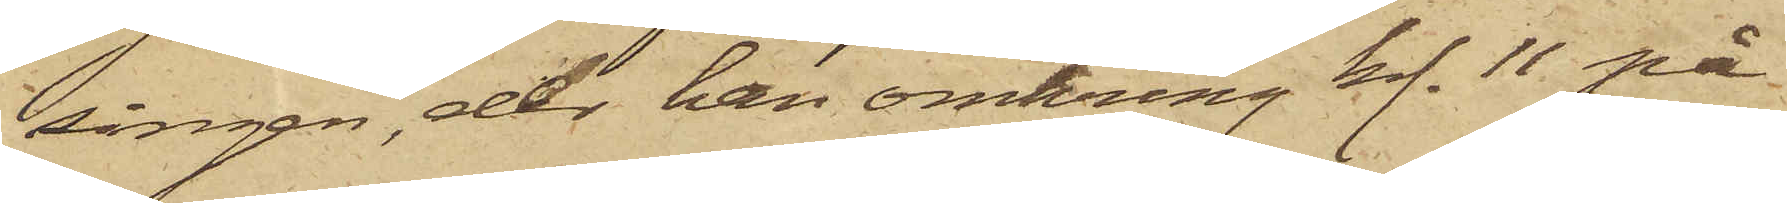singen, der han omkring kl. 11 på
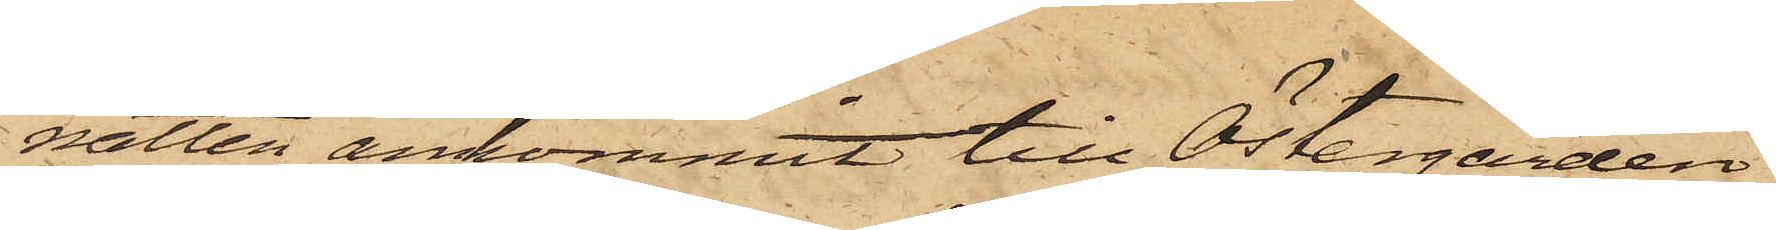natten ankommit till Östergården,
